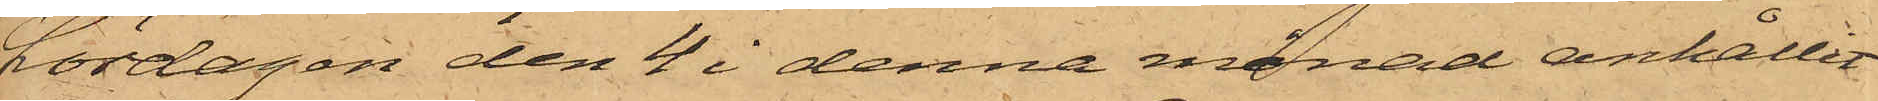Lördagen den 4 i denna månad anhållit
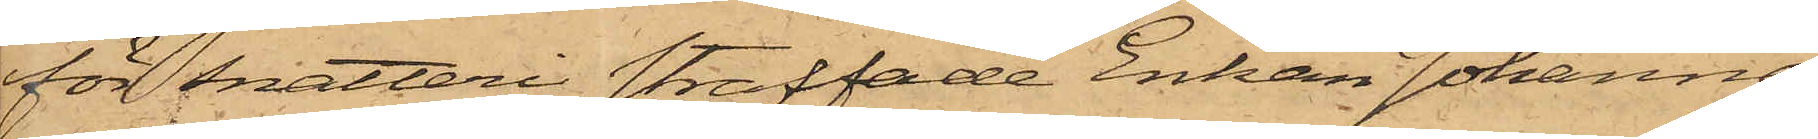för snatteri straffade Enkan Johanna
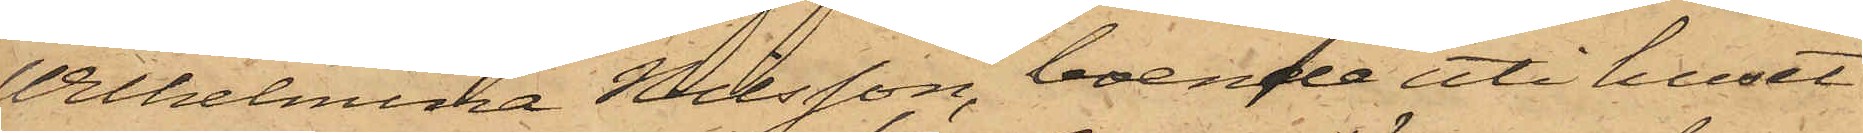Wilhelmina Nilsson, boende uti huset
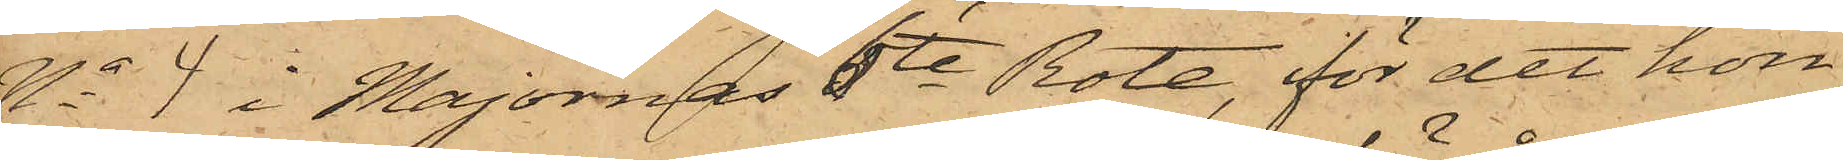No 4 i Majornas 6te Rote, för det hon
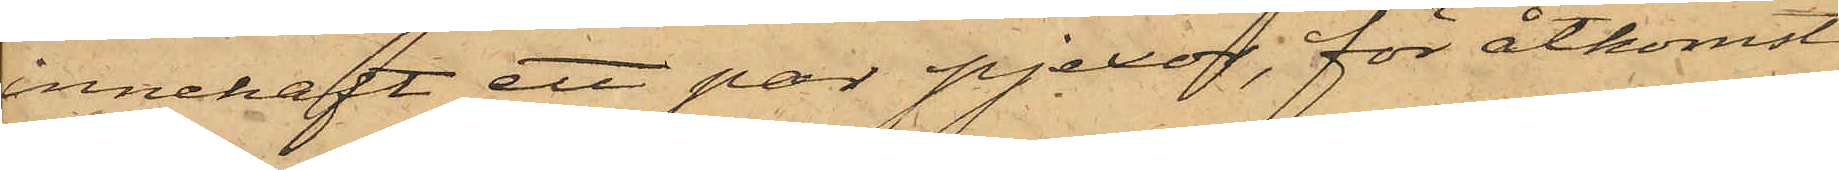innehaft ett par pjexor, för åtkomst
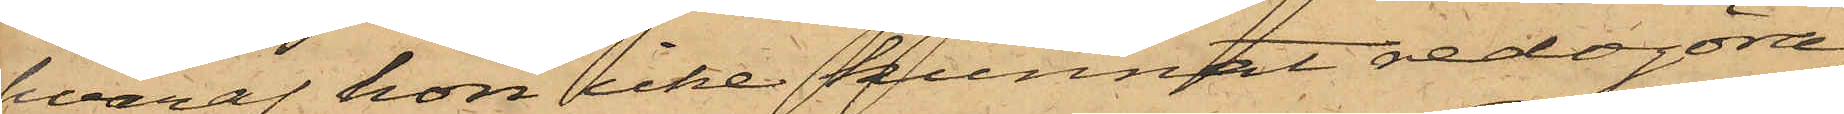hvaraf hon icke kunnat redogöra,
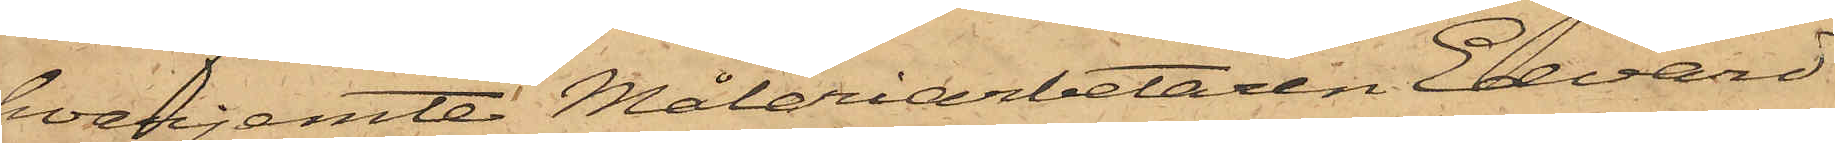hvarjemte Måleriarbetaren Edvard
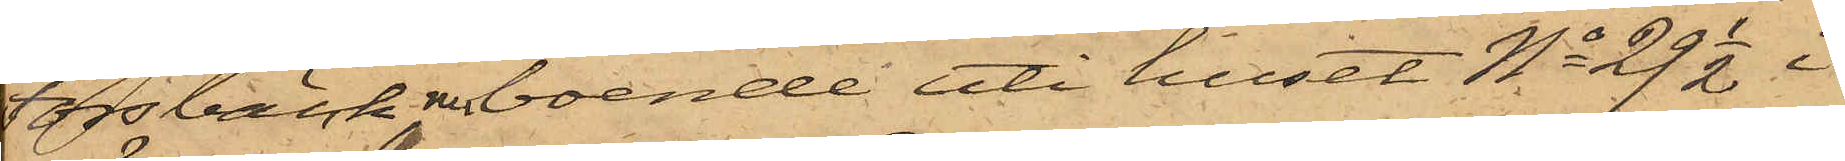Forsbäck, nu boende uti huset No 29 1/2 i
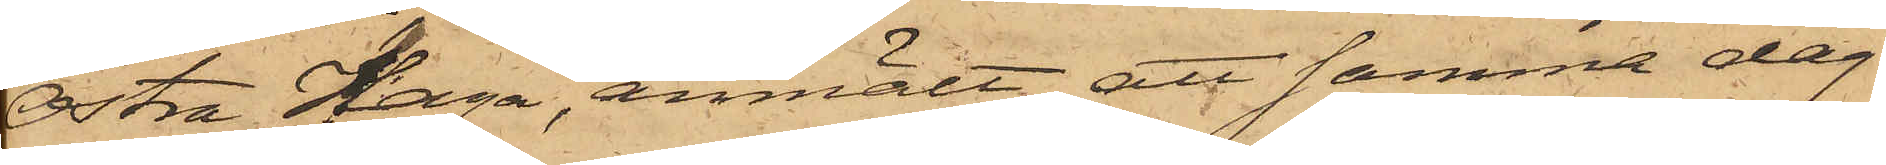Östra Haga, anmält, att samma dag
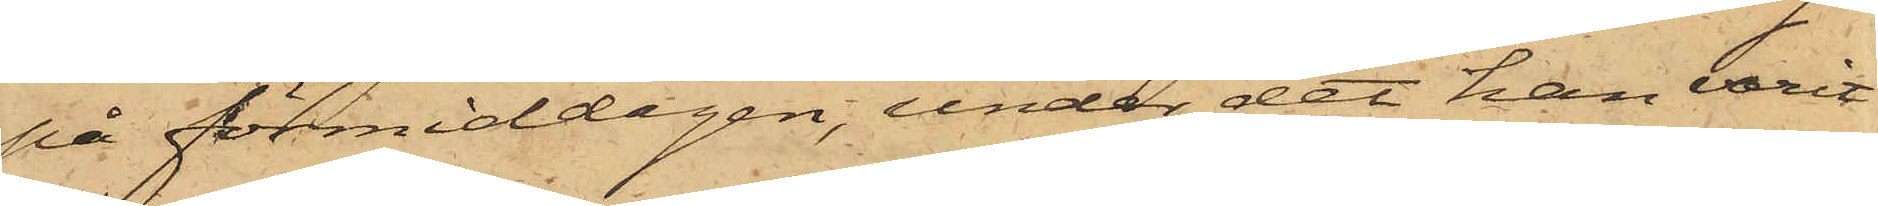på förmiddagen, under det han varit
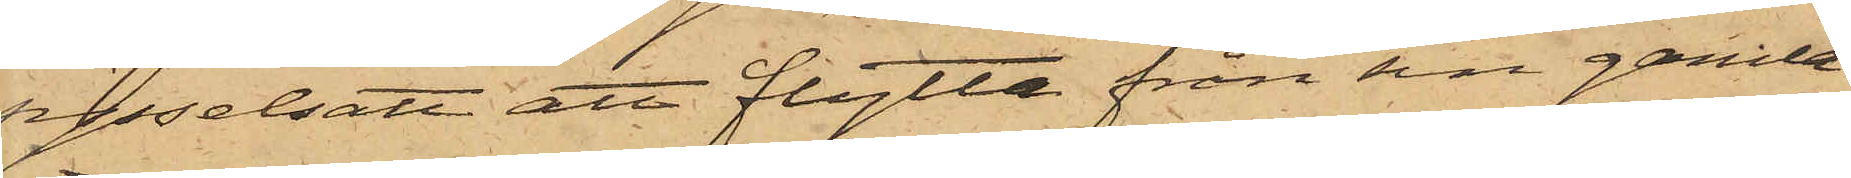sysselsatt att flytta från sin gamla
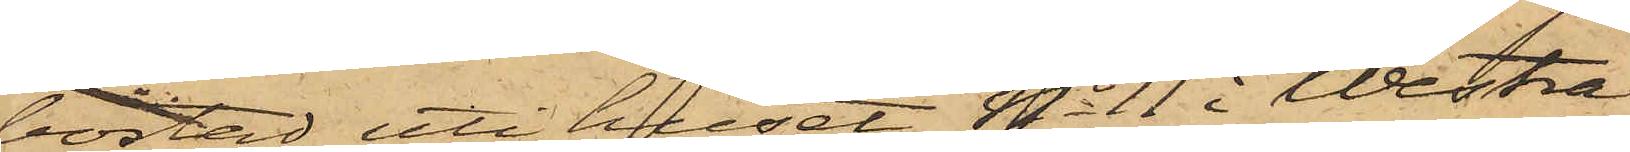bostad uti huset No 11 i Westra
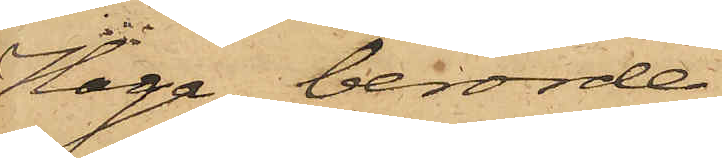Haga, berörde
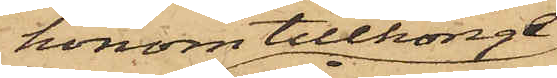honom tillhörige
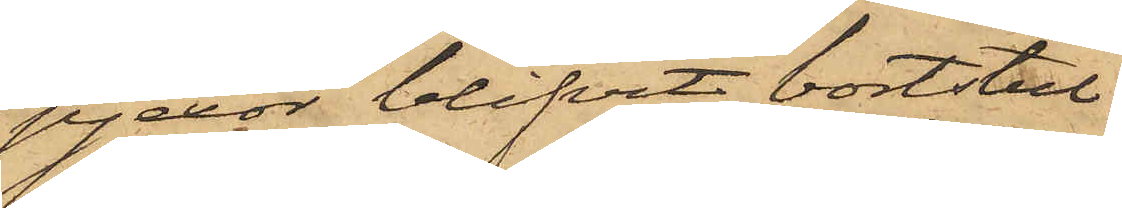pjexor blifvit bortstul¬
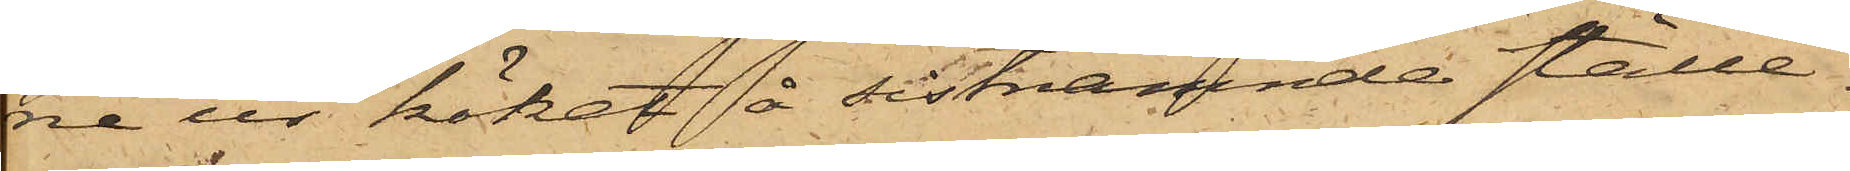ne ur köket å sistnämnde ställe.
